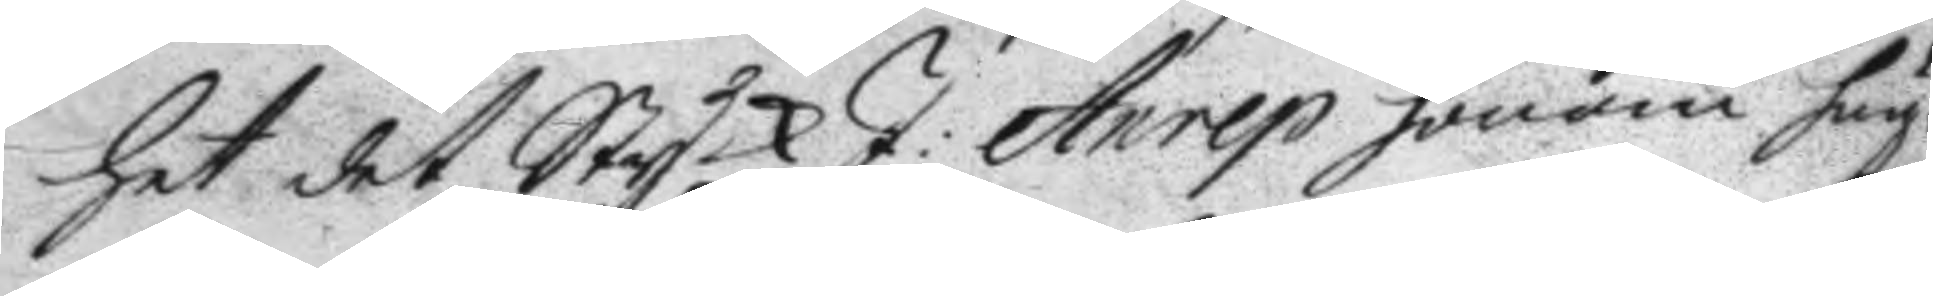het det StyckJ: Anrep honom hug¬
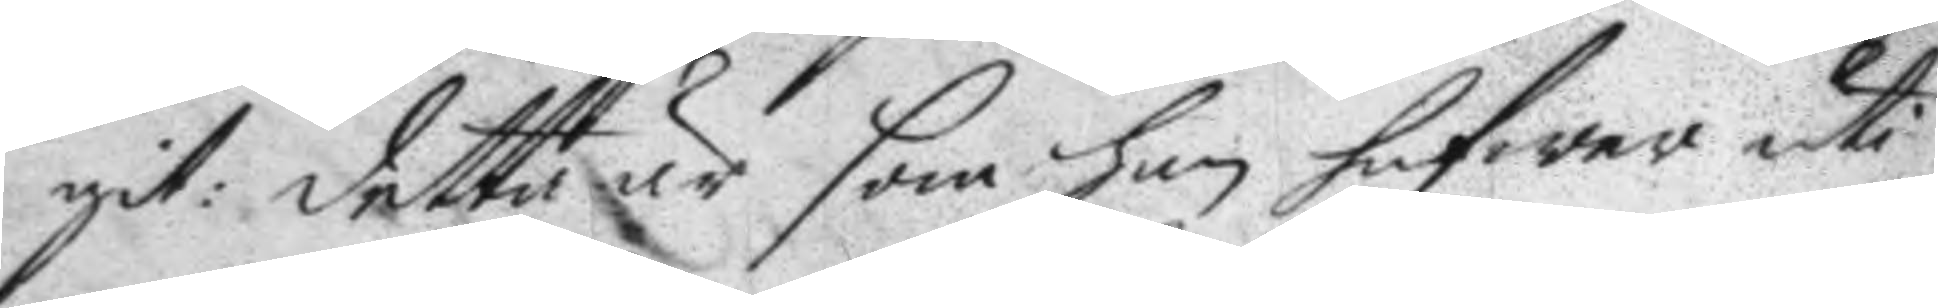git: detta är som han hafwer uti
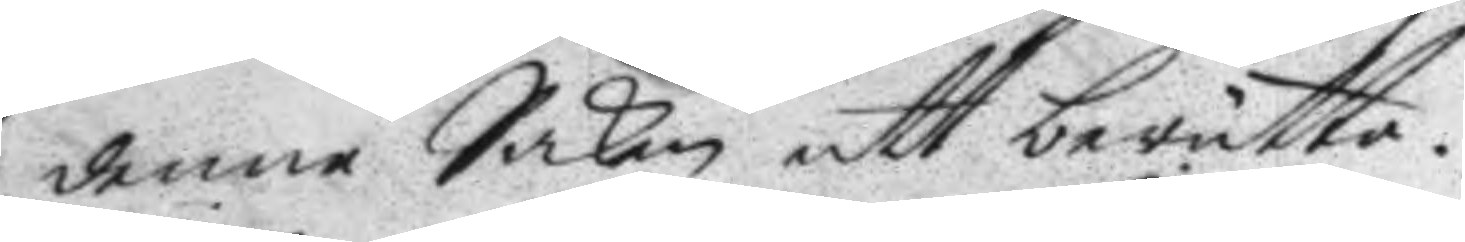denne Saken att berätta.
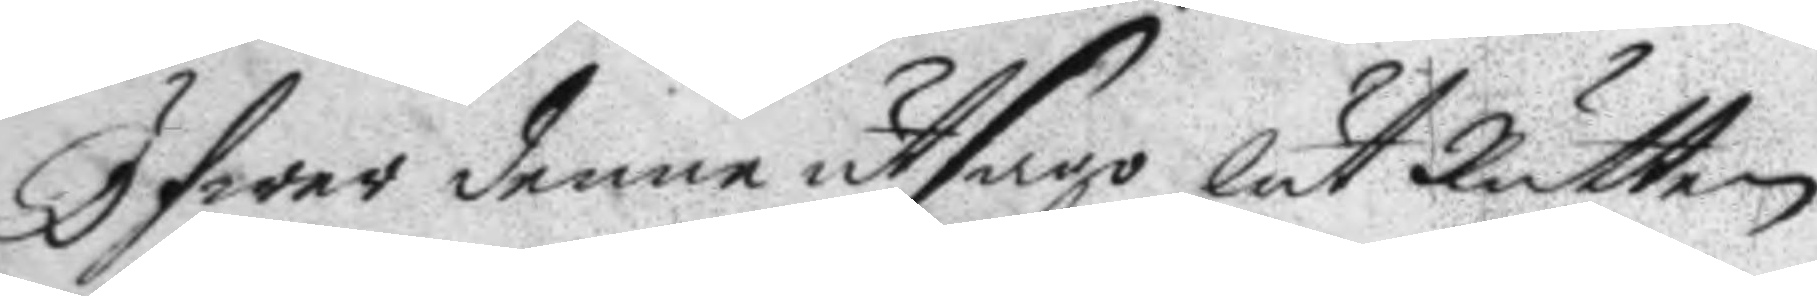Öfwer denne utsago lät Rätten
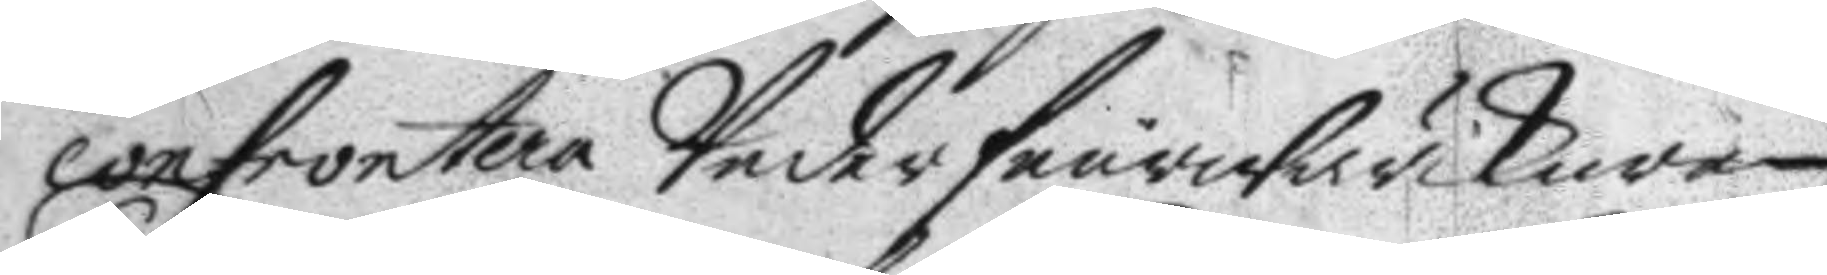confrontera Underfeurwärkaren
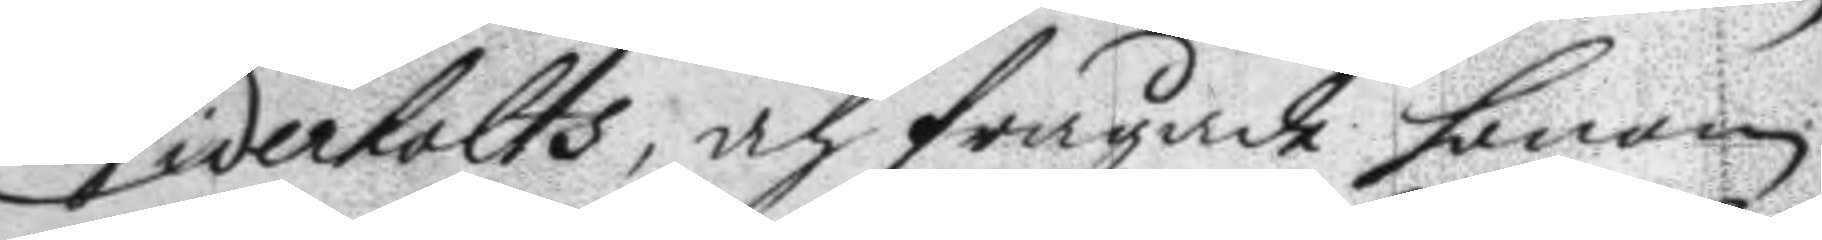Videholts, och frågade honom
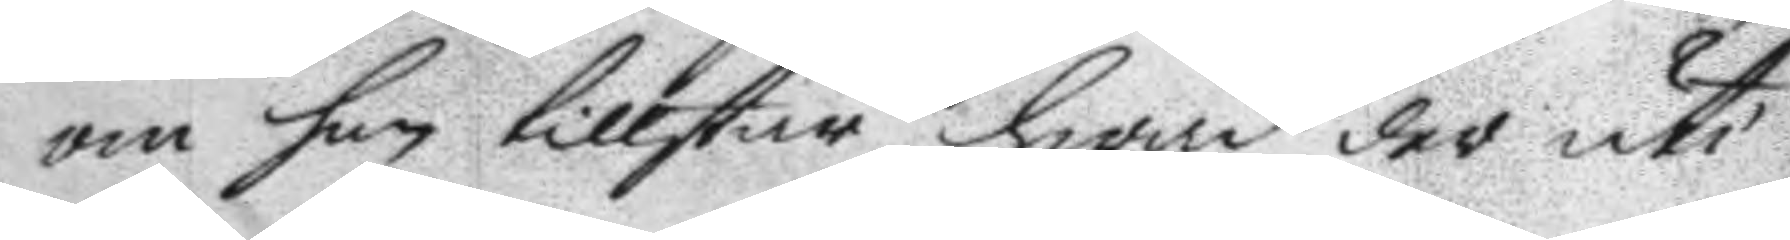om han tillstår, hwad der uti
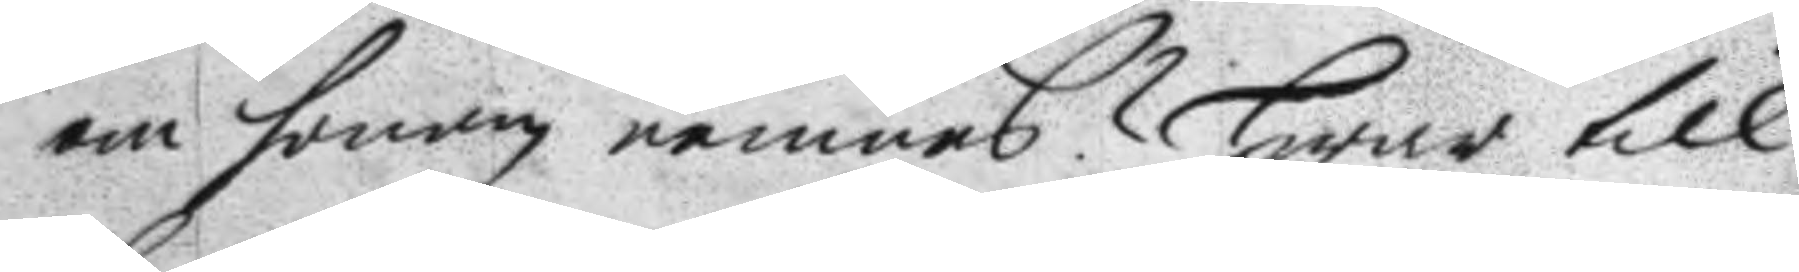om honom nemnes? Hwar till
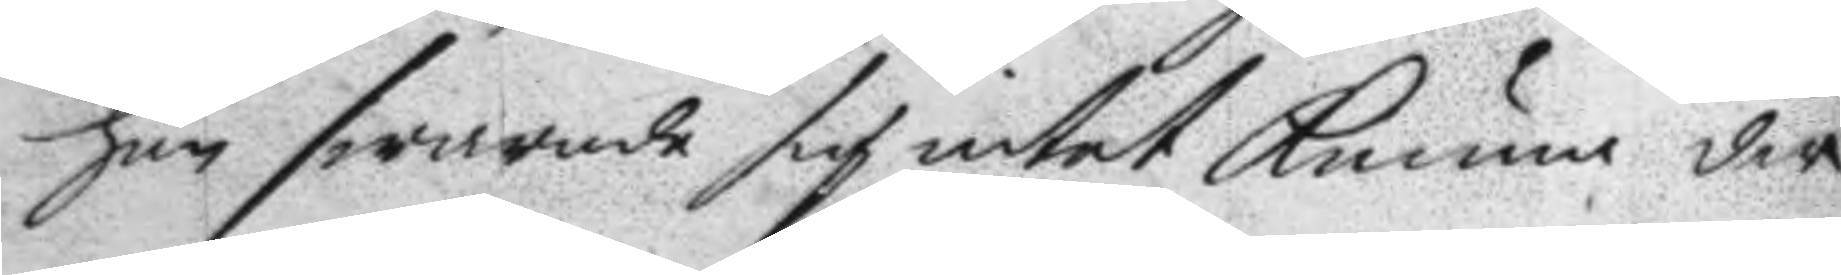han swarade sig intet kunna der
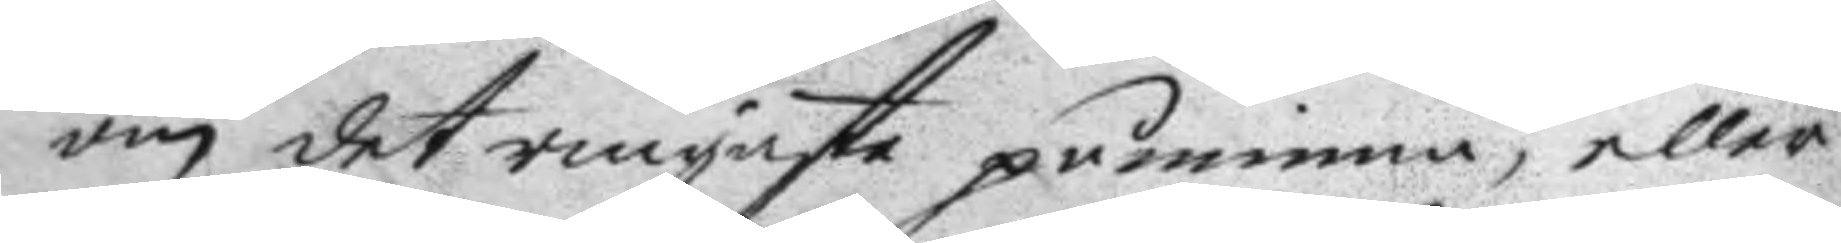om det ringaste påminna, eller
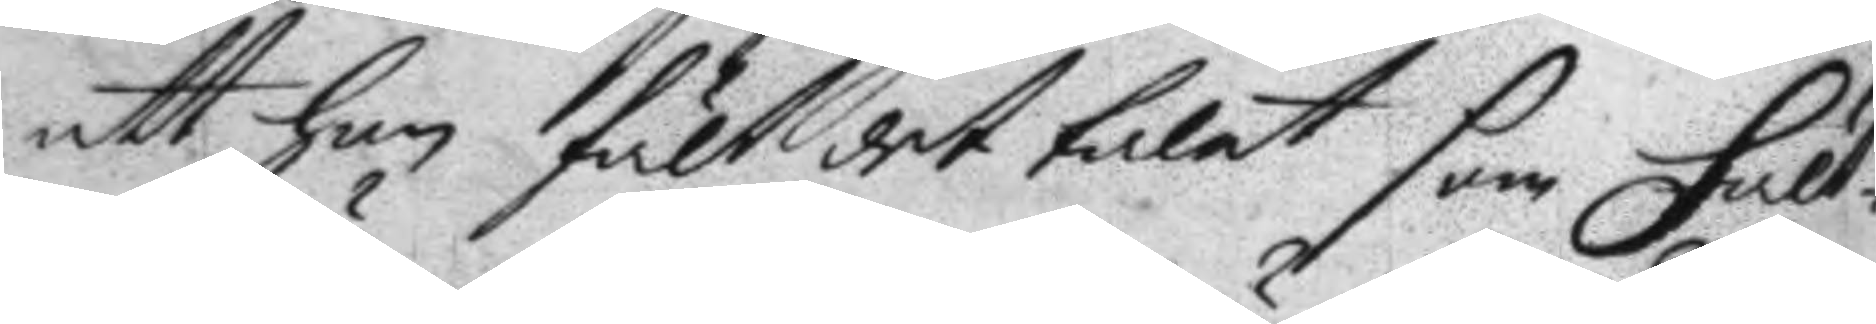att han hölt det talet som Fält¬
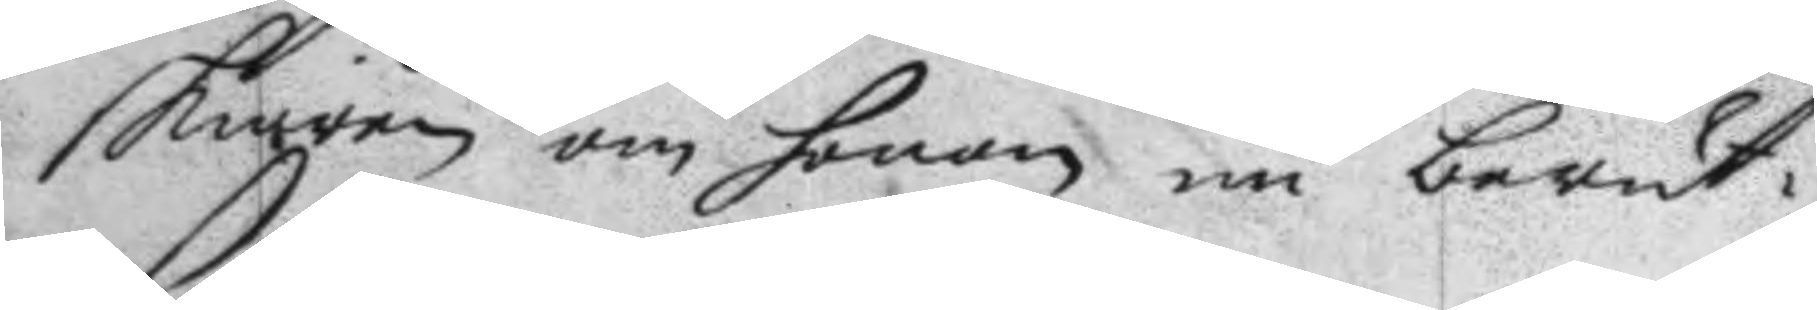skiären om honom nu berät¬
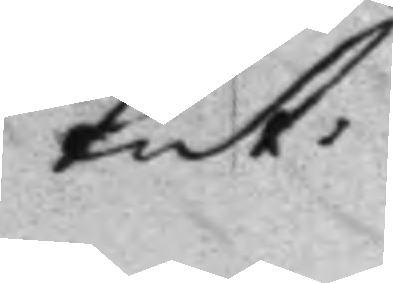tat.
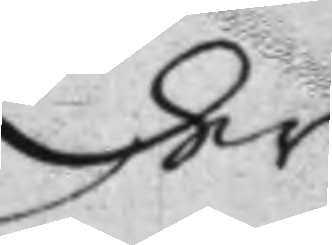der
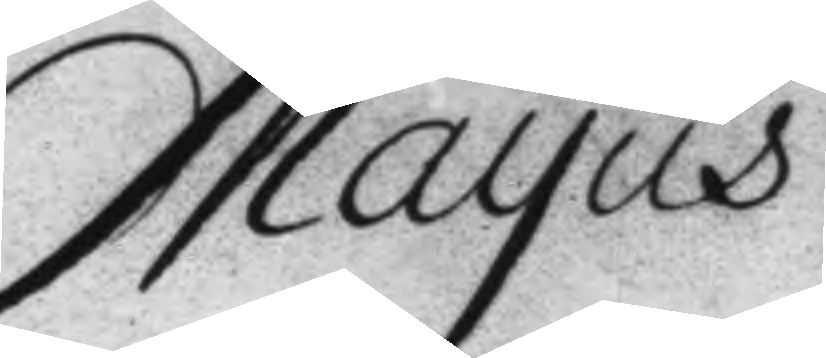Mayus
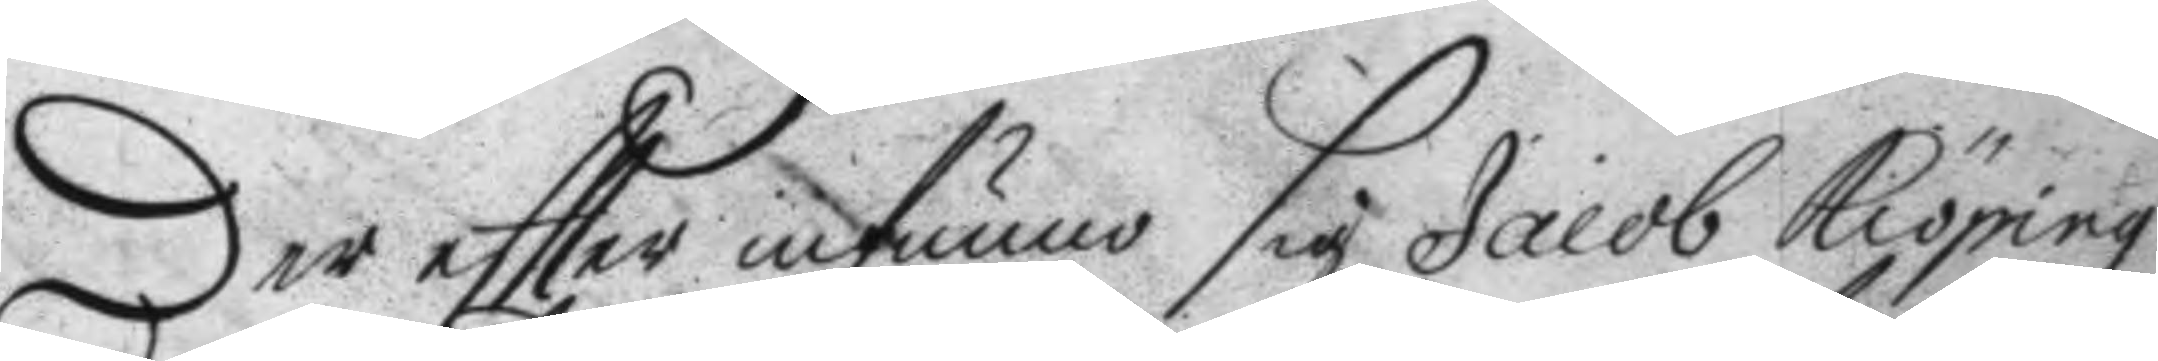der eftter infunno sig jacob Kiöping
